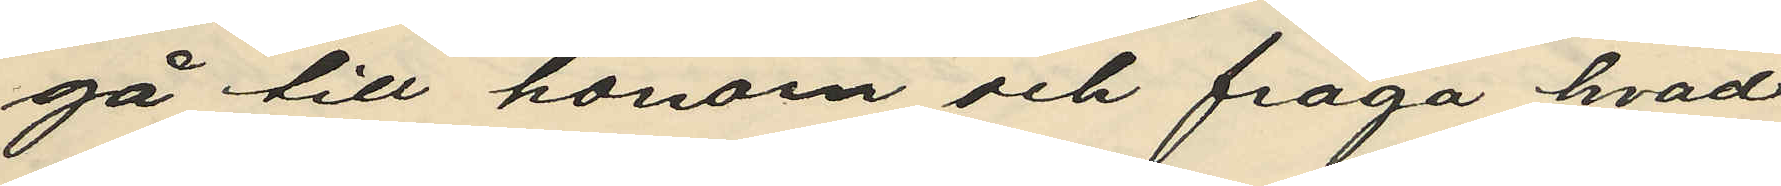gå till honom och fråga hvad
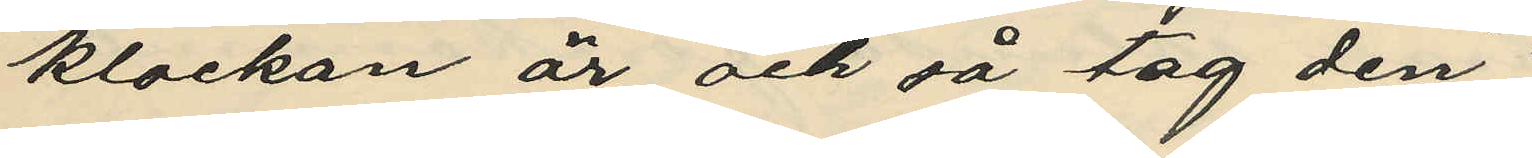klockan är och så tag den";
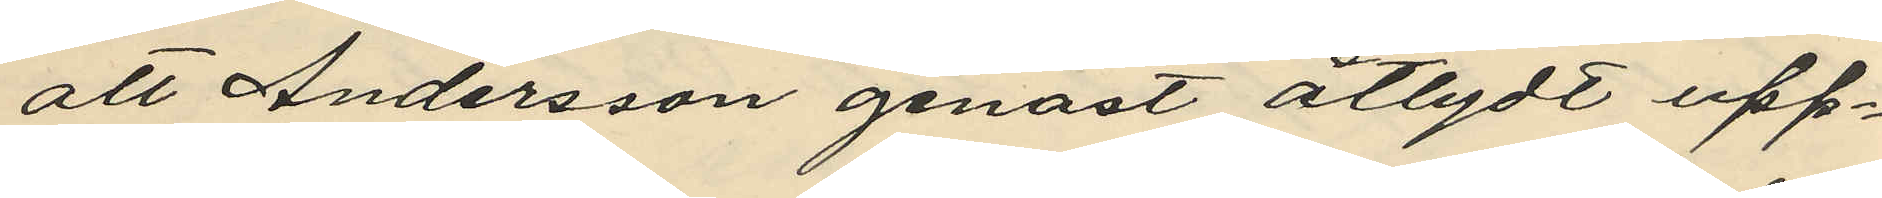att Andersson genast åtlydt upp¬
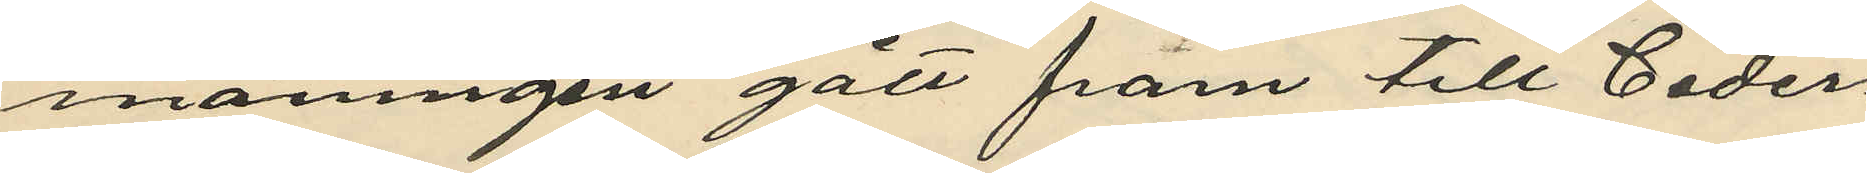maningen gått fram till Ceder¬
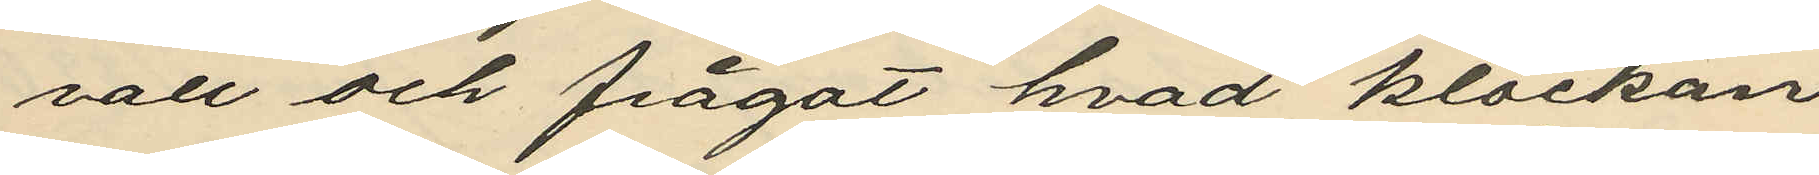vall och frågat hvad klockan
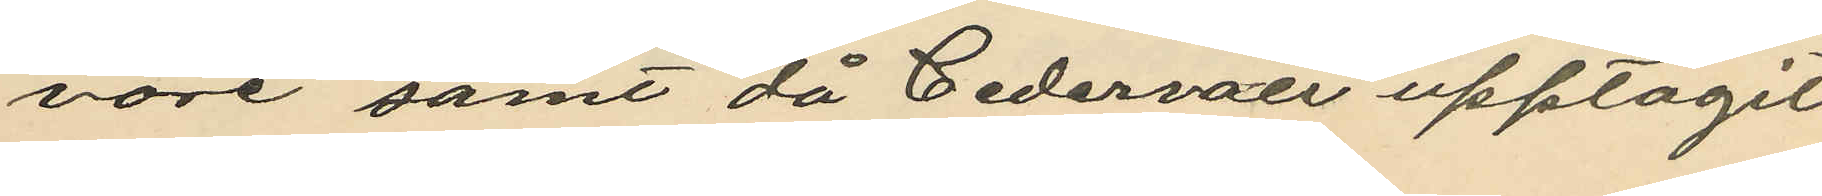vore samt då Cedervall upptagit
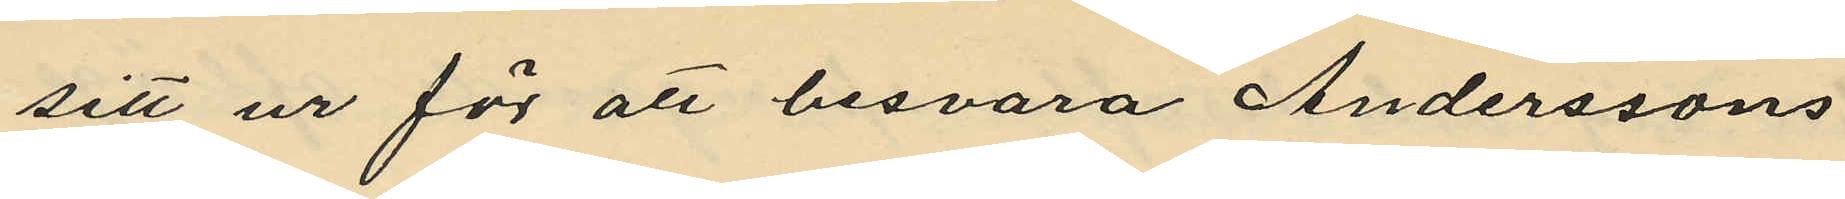sitt ur för att besvara Anderssons
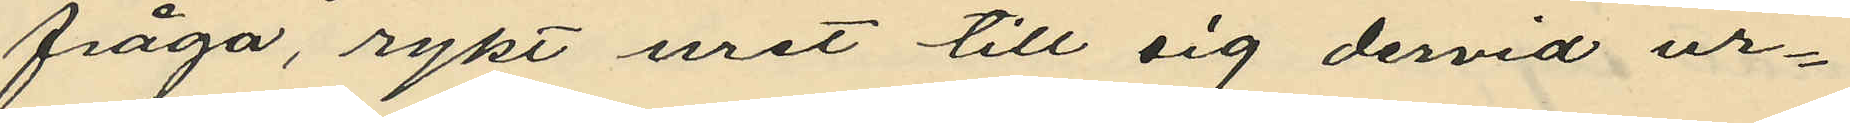fråga, rykt uret till sig dervid ur¬
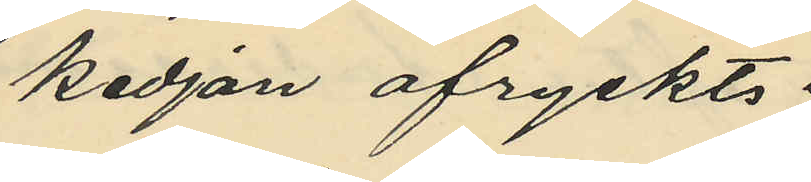kedjan afryckts;
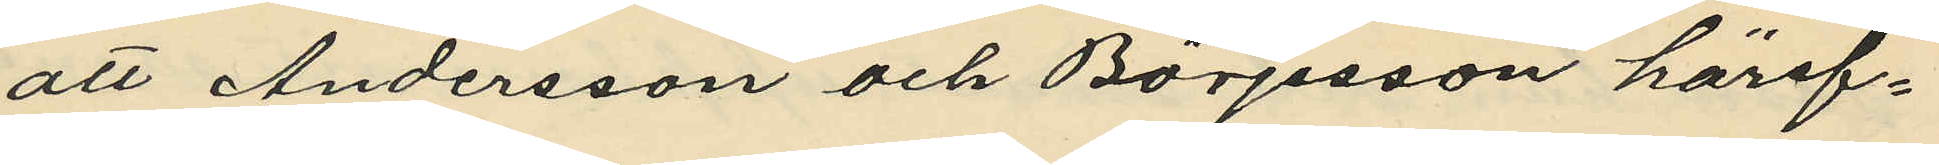att Andersson och Börjesson häref¬
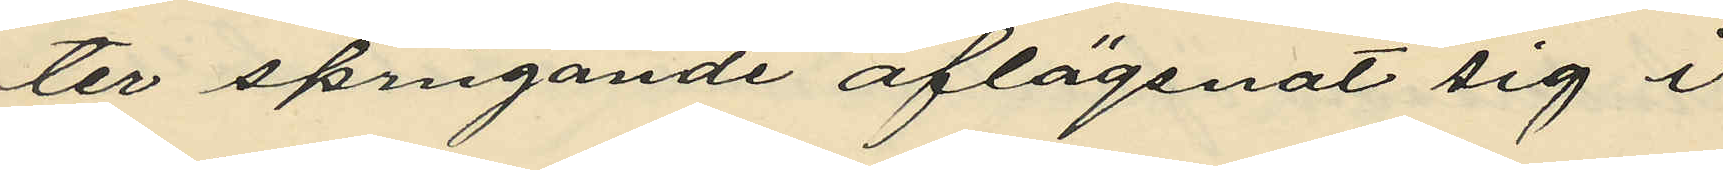ter springande aflägsnat sig i
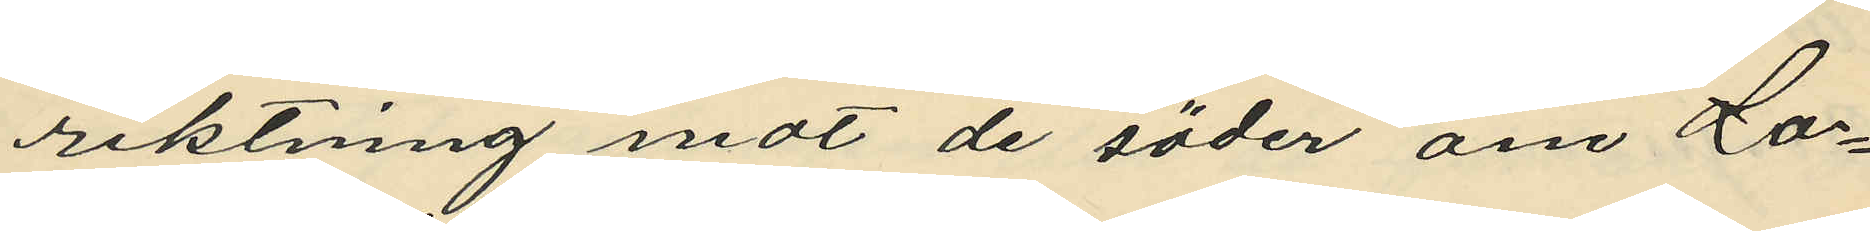riktning mot de söder om Lo¬
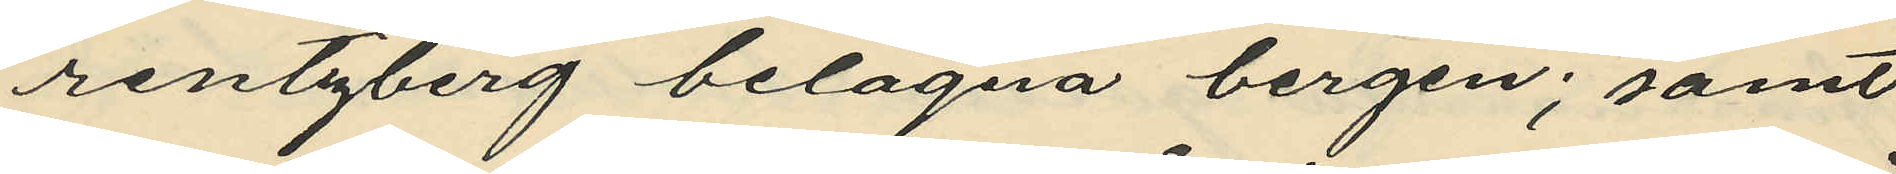rentzberg belägna bergen; samt
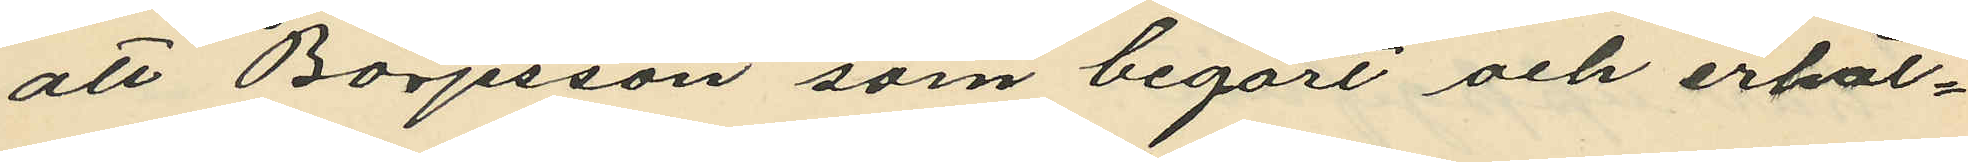att Börjesson som begärt och erhål¬
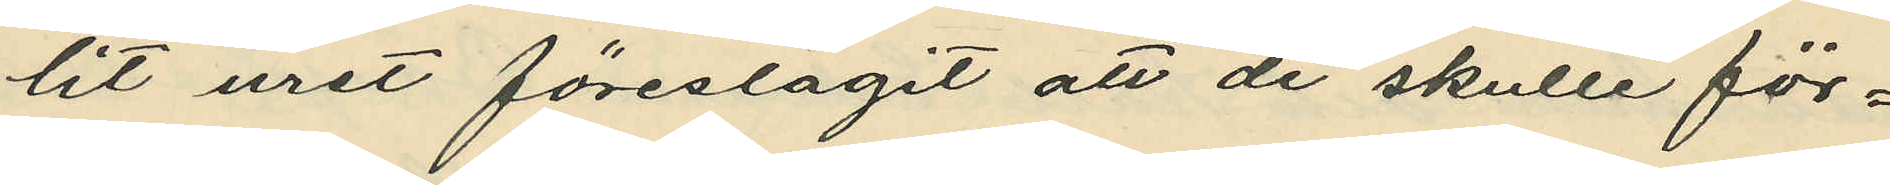lit uret föreslagit att de skulle för¬
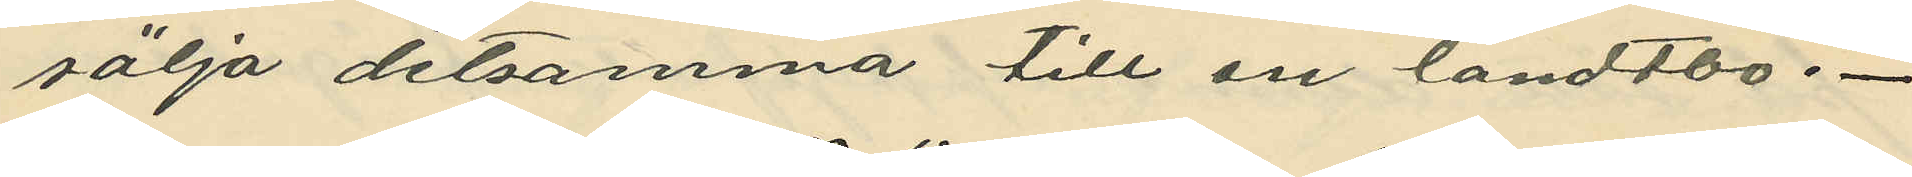sälja detsamma till en landtbo.
